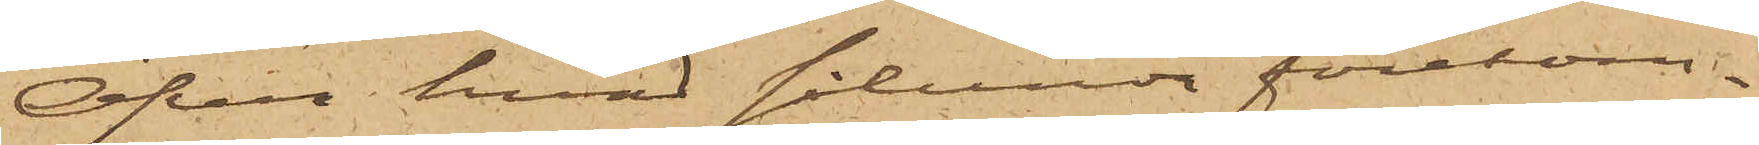Öfver hvad sålunda förekom¬
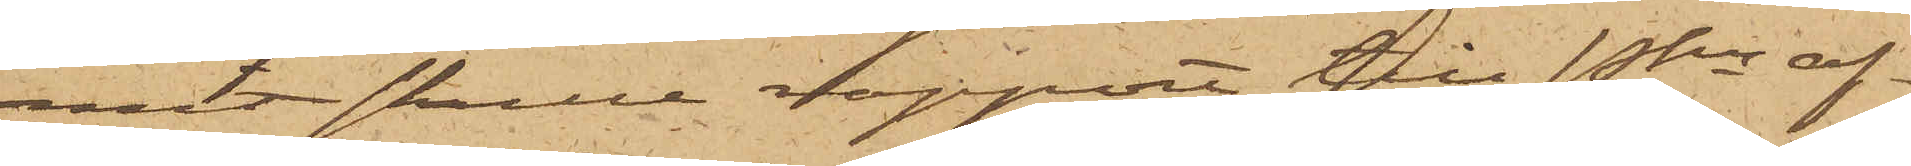mit skulle rapport till Pkn af¬
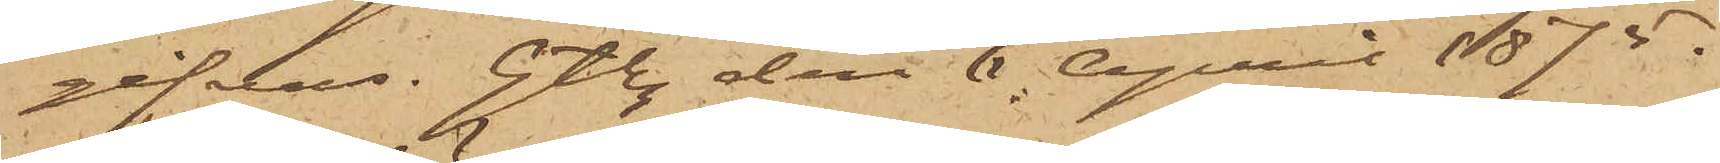gifvas. Gtbg den 6 April 1875.
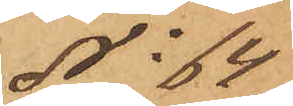No 64
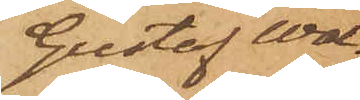Gustaf Wal¬
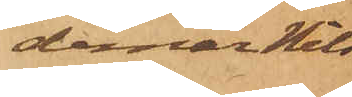demar Nils¬
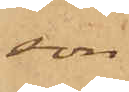son
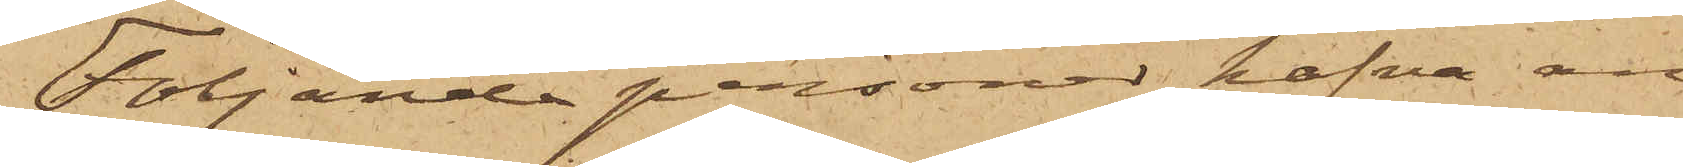Följande personer hafva an¬
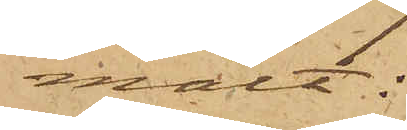mält:
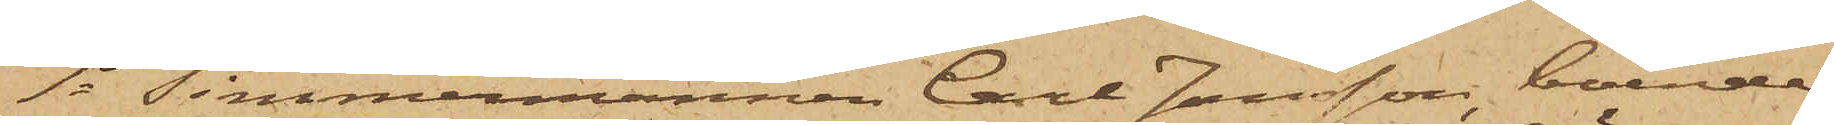1o Timmermannen Carl Jansson, boende
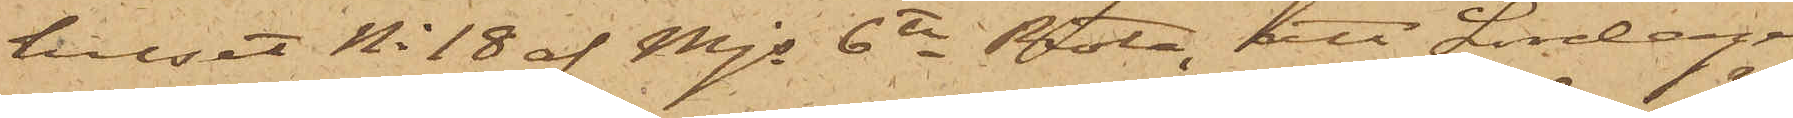huset No 18 af Mjs 6te Rote, att Lördagen
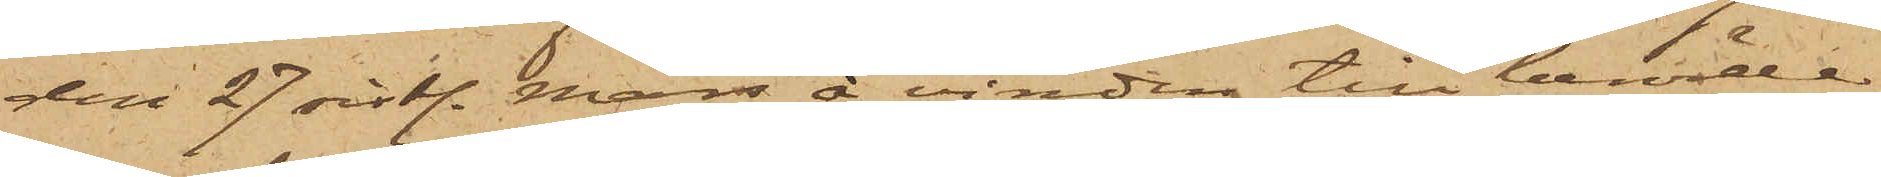den 27 sistl. Mars å vinden till berörde
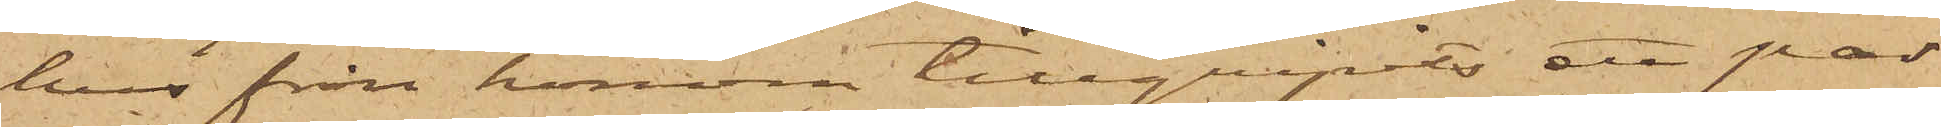hus från honom tillgripits ett par
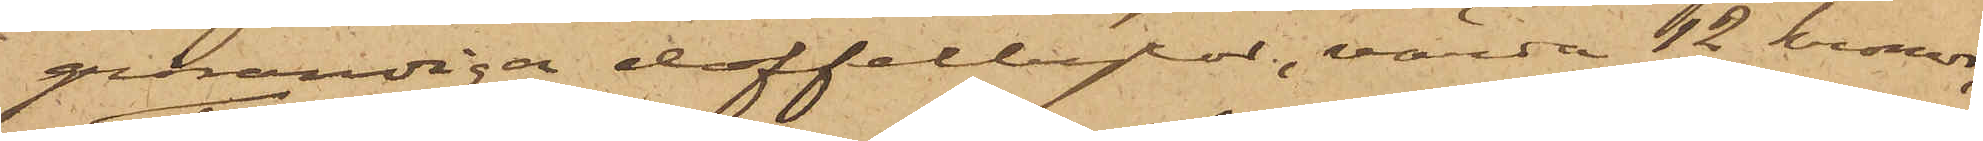grårandiga doffelbyxor, värde 12 kronor;
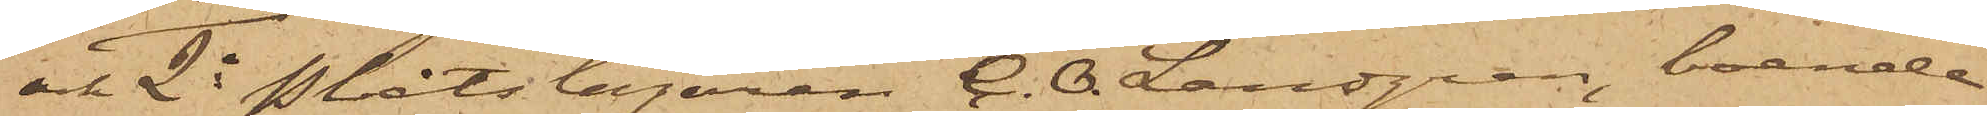och 2o Plåtslagaren C. O. Landgren, boende
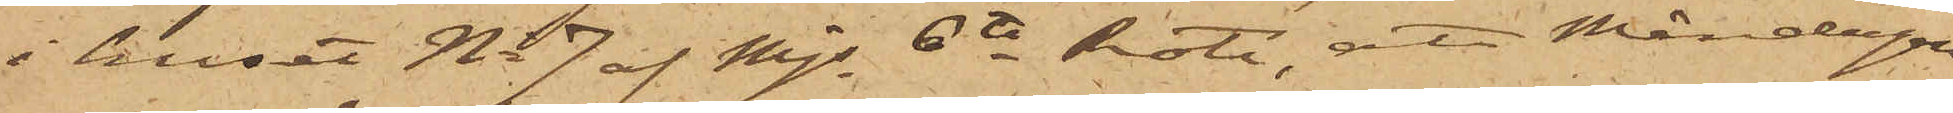i huset No 7 af Mjs 6te Rote, att Måndagen
